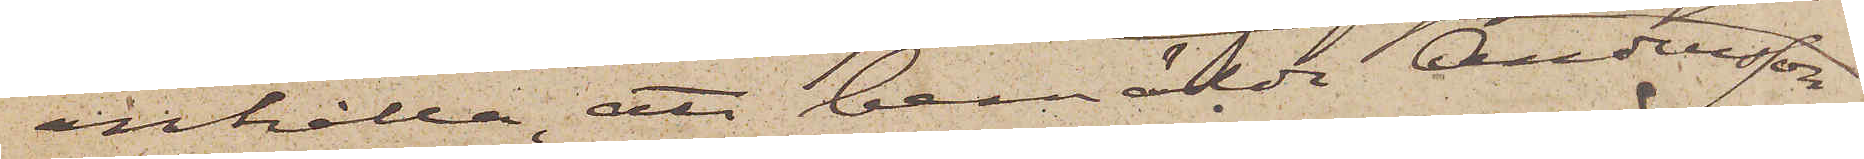anhålla, att bemälde Andersson
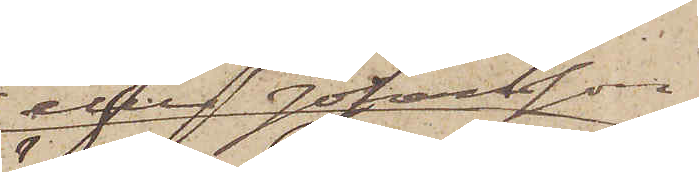eller Johansson
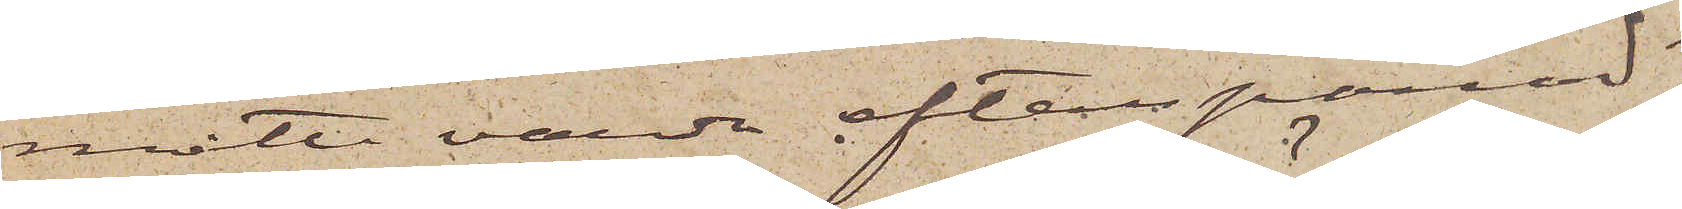måtte varda efterspanad
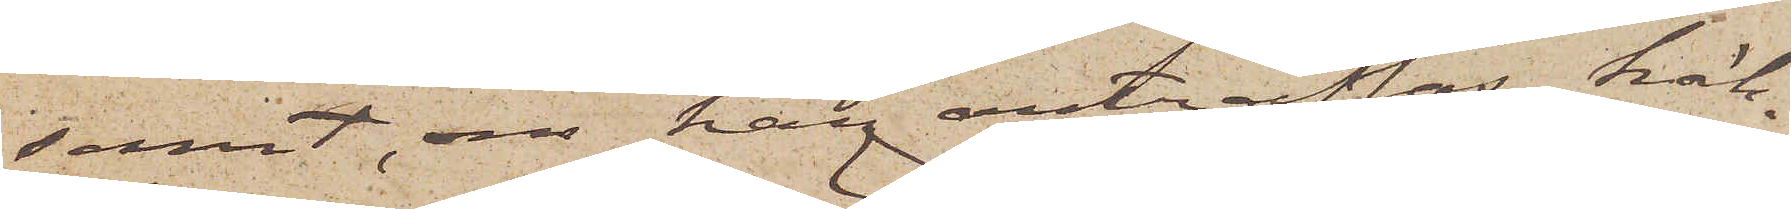samt, om han anträffas, häk¬
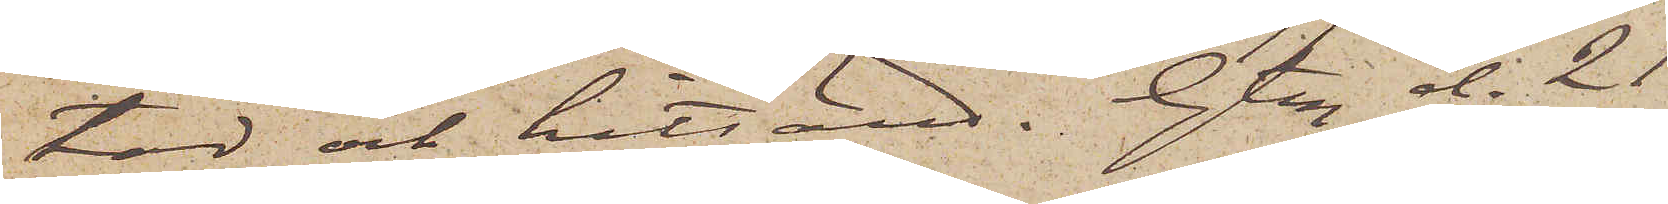tad och hitsänd. Gtbg d. 21
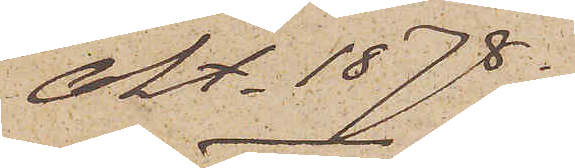Okt. 1878.
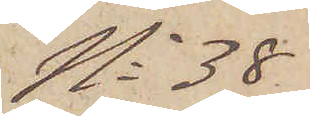No 38
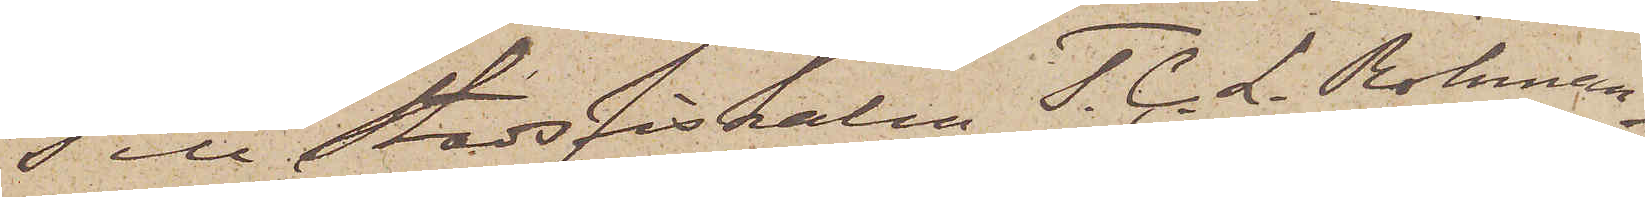Till Stadsfiskalen T. C. L. Röhman,
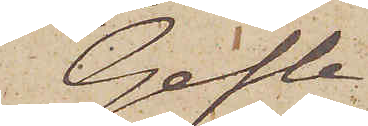Gefle
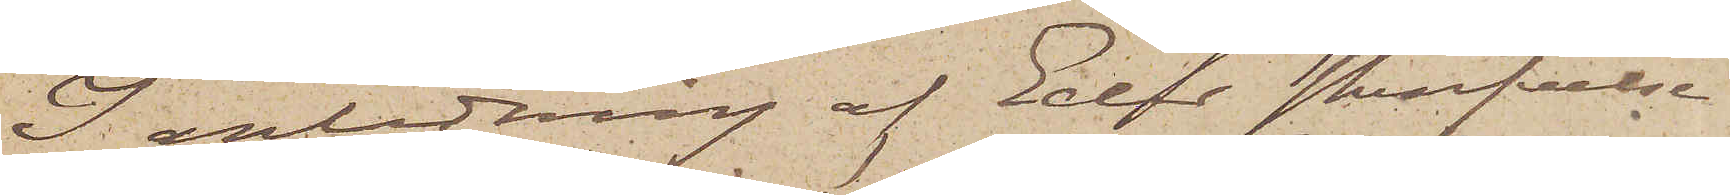I anledning af Eder skrifvelse
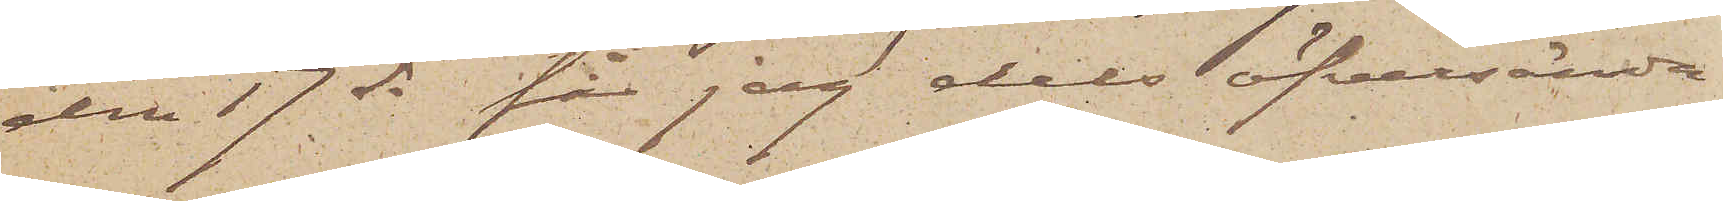den 17 ds får jag dels öfversända
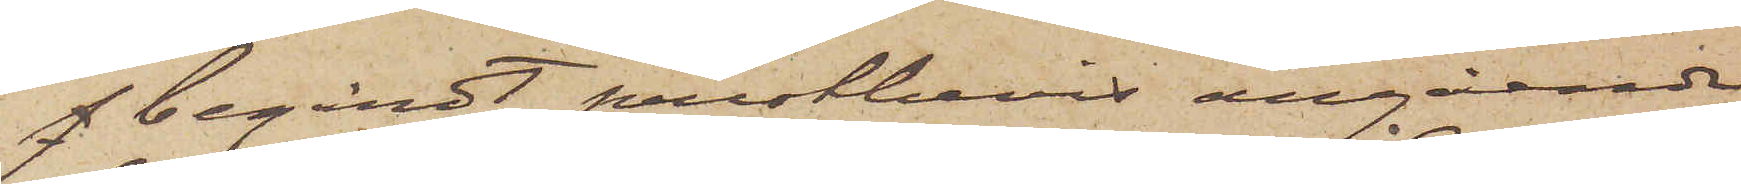f begärdt prestbevis angående
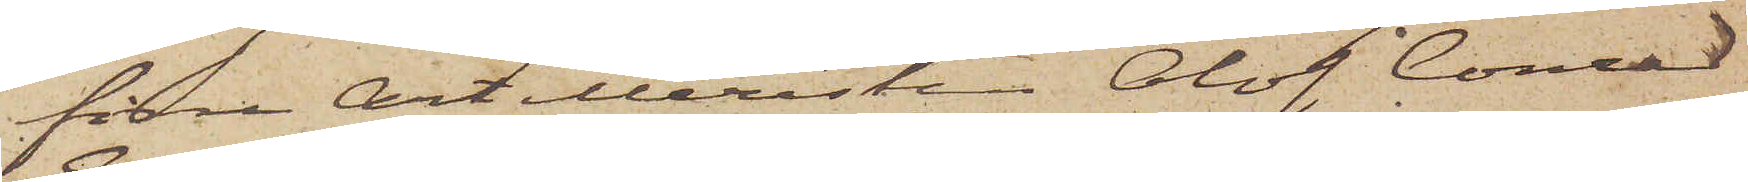förra Artilleristen Olof Conrad
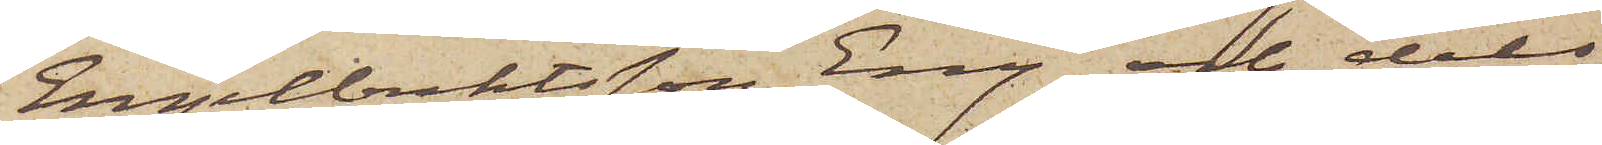Engelbrektsson Eng och dels
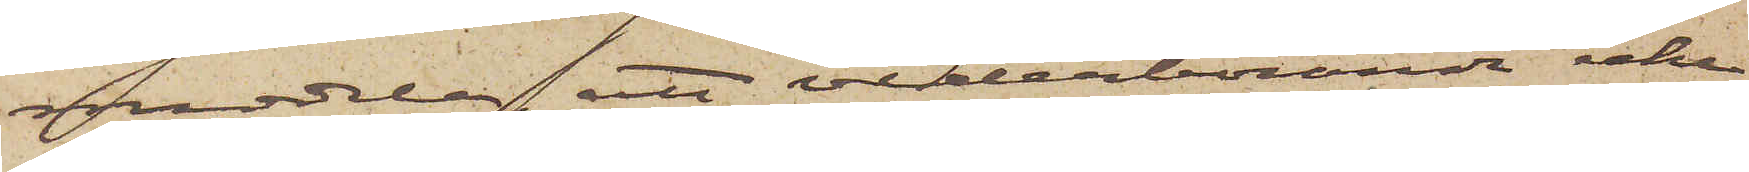meddela att vederbörande icke
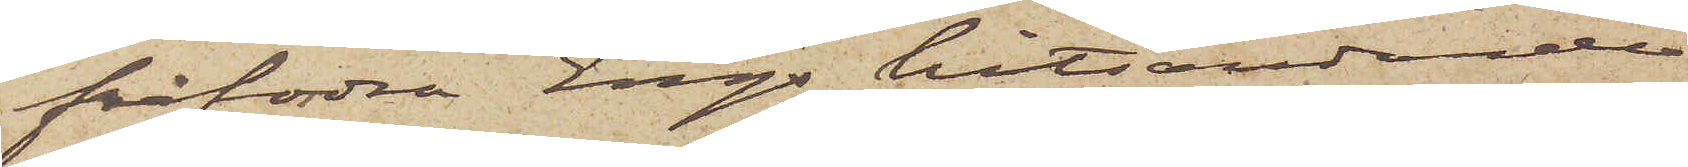påfordra Engs hitsändande
